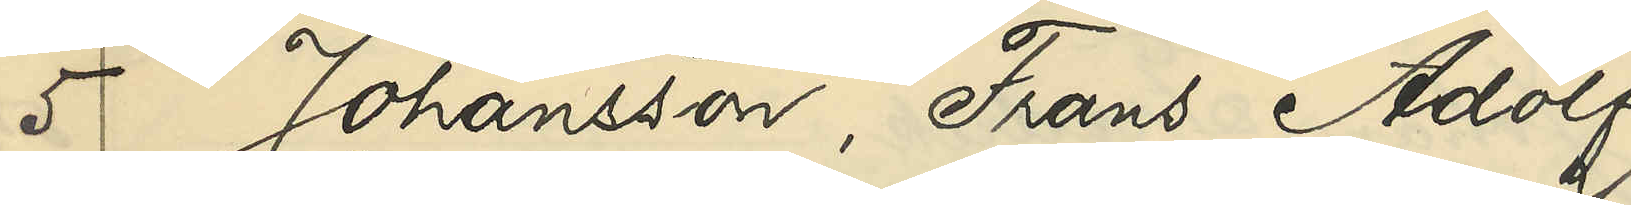5 Johansson, Frans Adolf
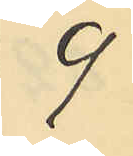9
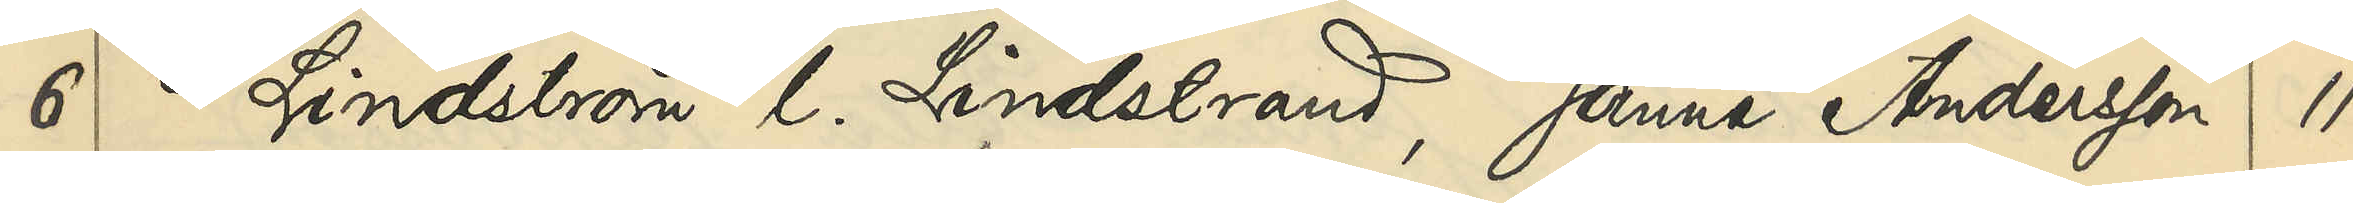6 Lindström l. Lindstrand, Janne Andersson 11
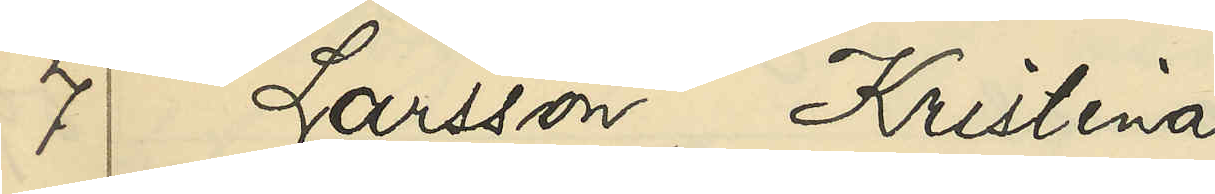7 Larsson, Kristina
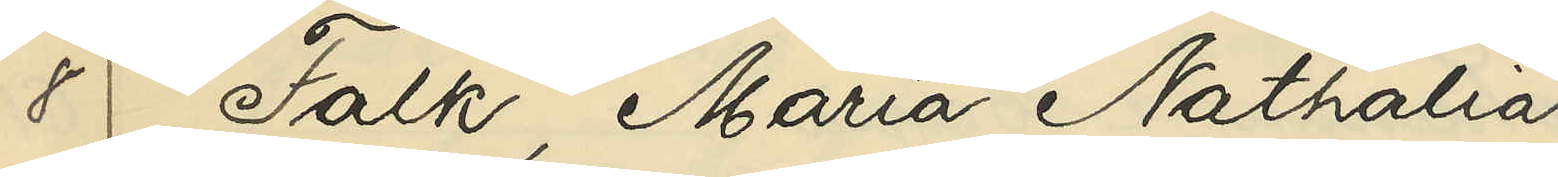8 Falk, Maria Nathalia
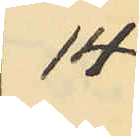14
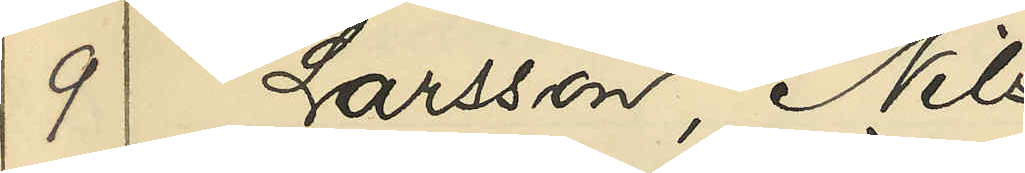9 Larsson, Nils
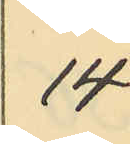14
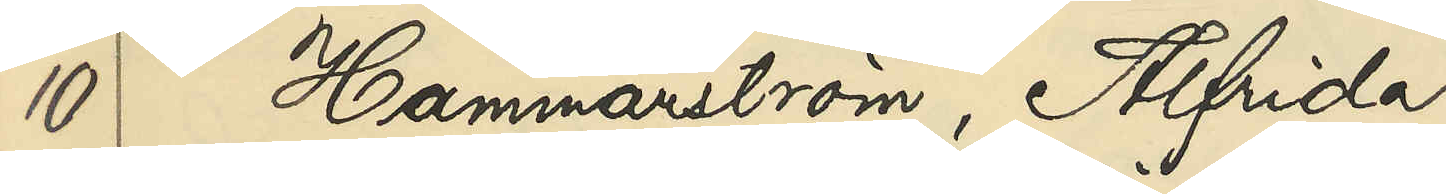10 Hammarström, Alfrida
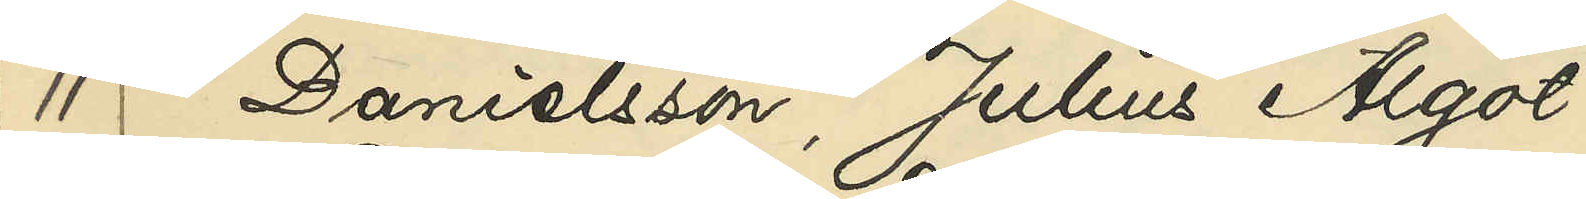11 Danielsson, Julius Algot
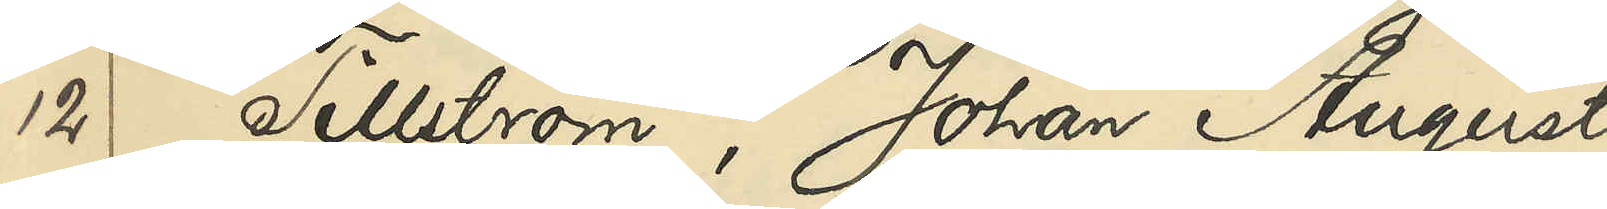12 Tillström, Johan August
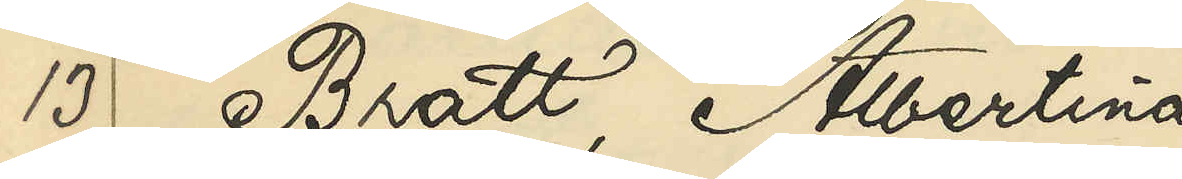13 Bratt, Albertina
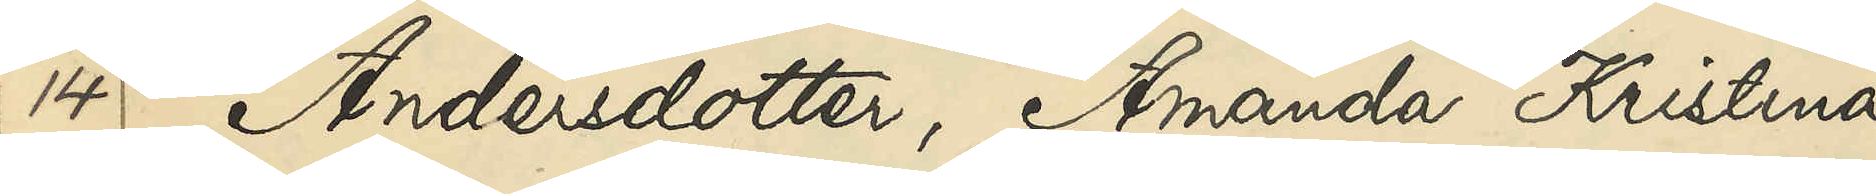14 Andersdotter, Amanda Kristina
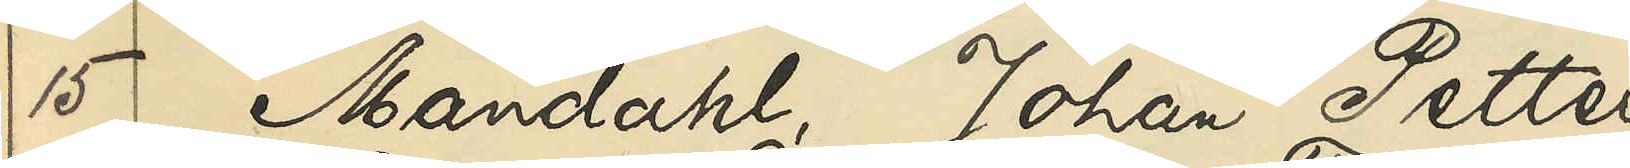15 Mandahl, Johan Petter
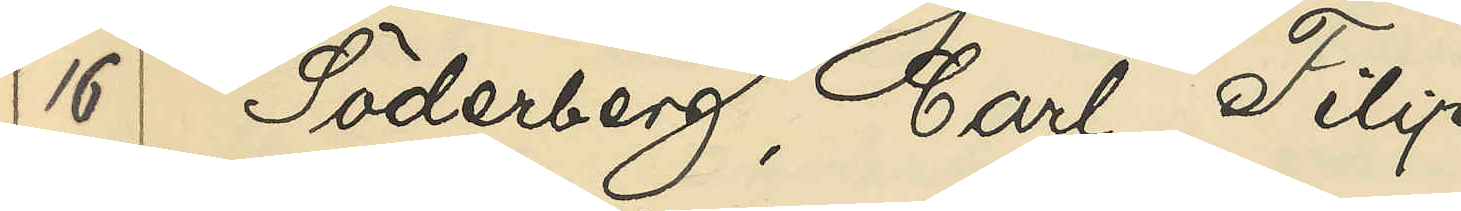16 Söderberg, Carl Filip
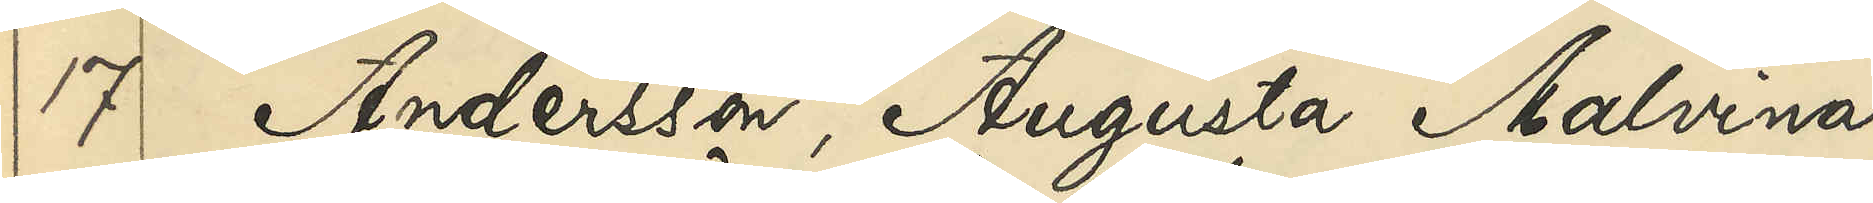17 Andersson, Augusta Malvina
